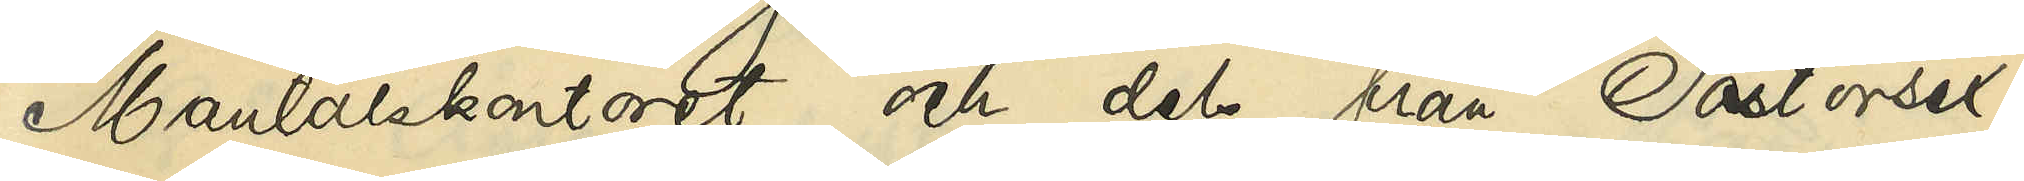Mantalskontoret och dels från Pastorsex¬
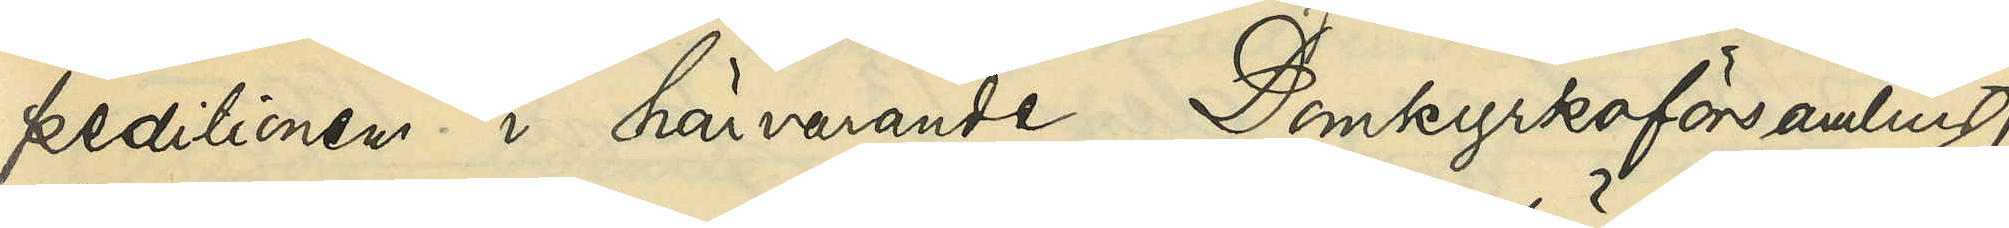peditionen i härvarande Domkyrkoförsamling,
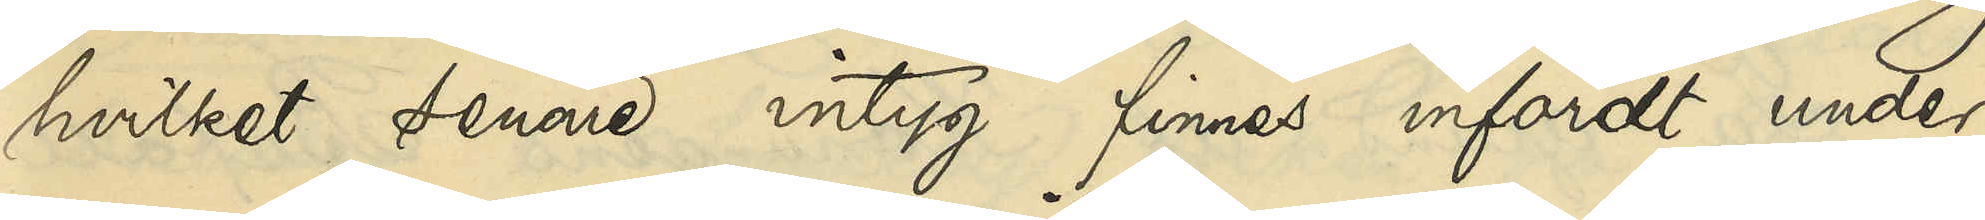hvilket senare intyg finnes infördt under
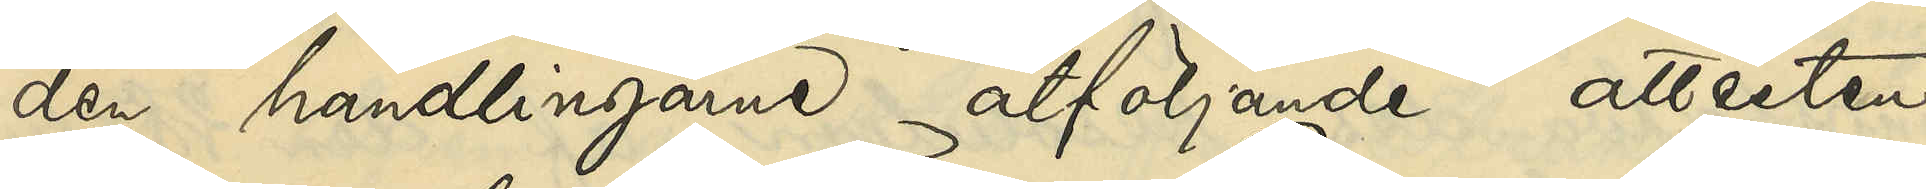den handlingarne åtföljande attesten
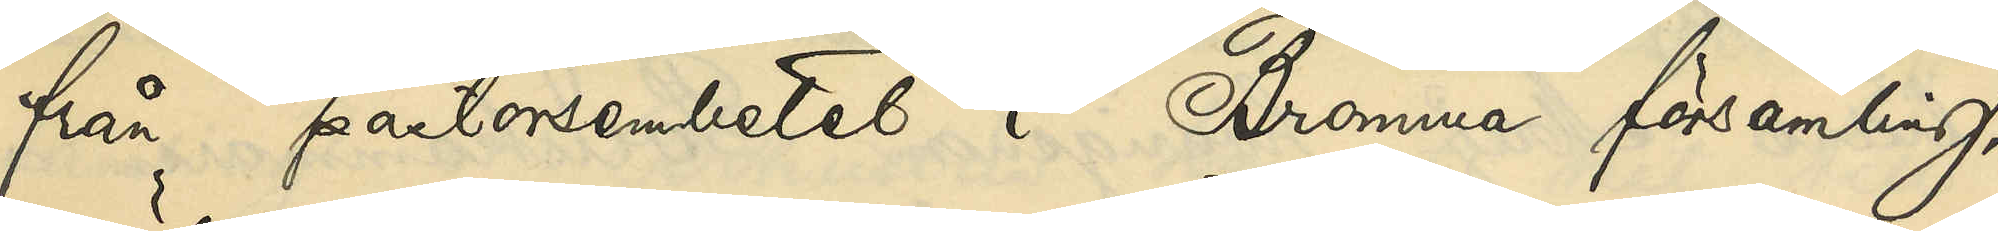från pastorsembetet i Bromma församling,
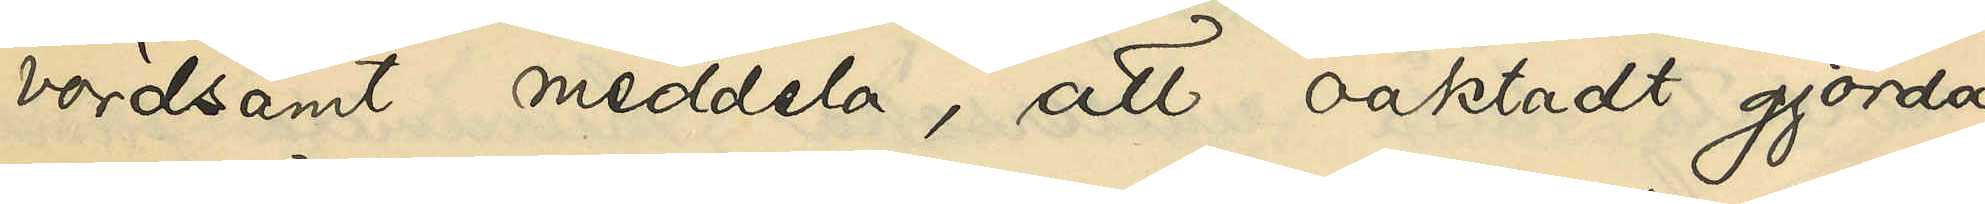vördsamt meddela, att oaktadt gjorda
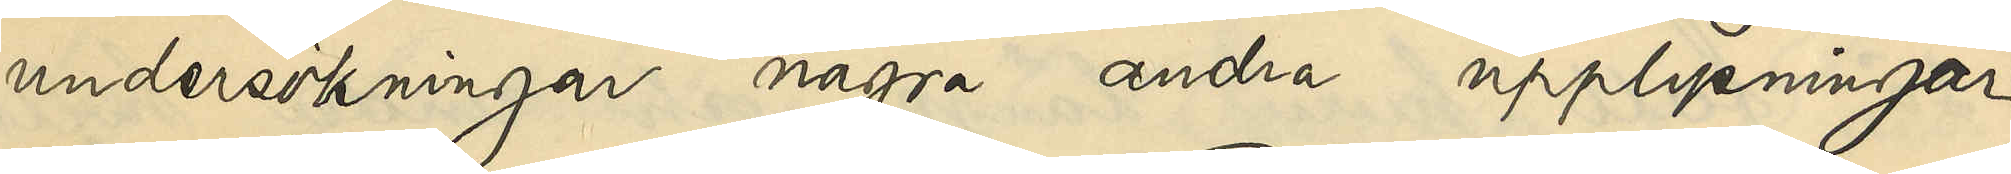undersökningar några andra upplysningar
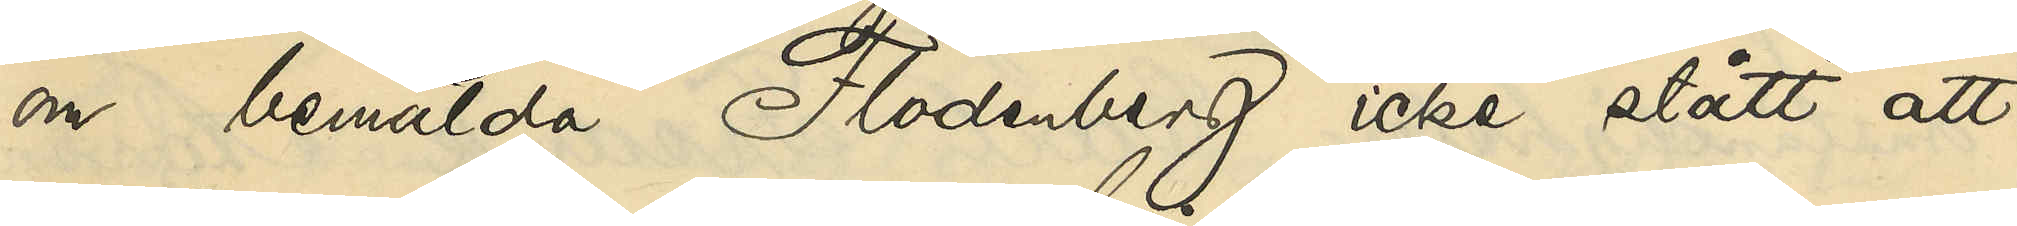om bemälda Flodenberg icke stått att
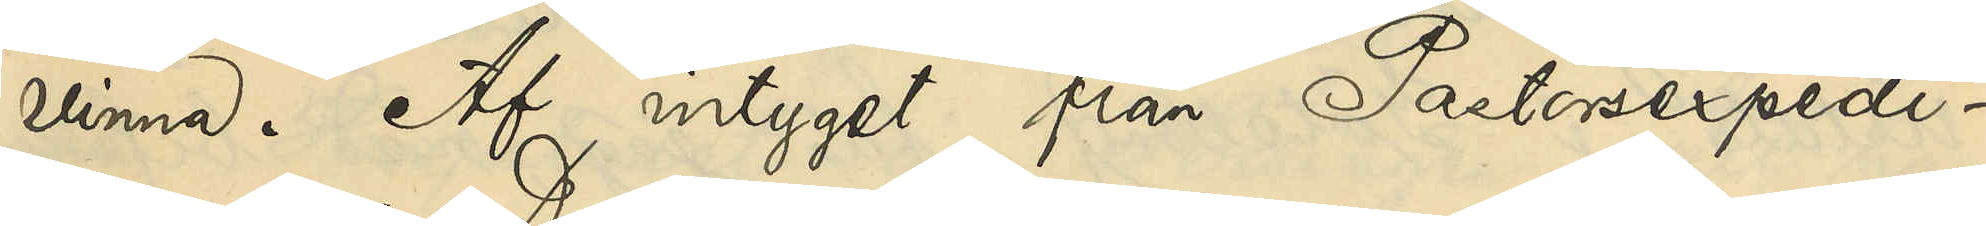vinna. Af intyget från Pastorsexpedi¬
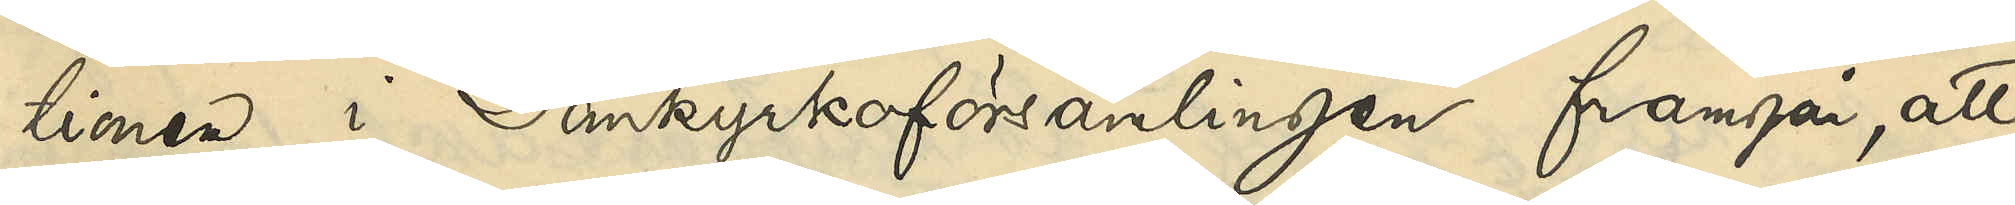tionen i Domkyrkoförsamlingen framgår, att
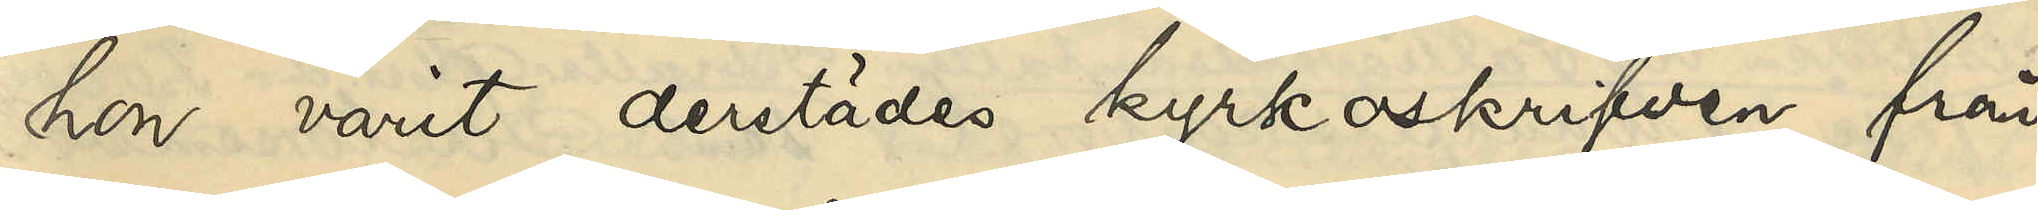hon varit derstädes kyrkoskrifven från
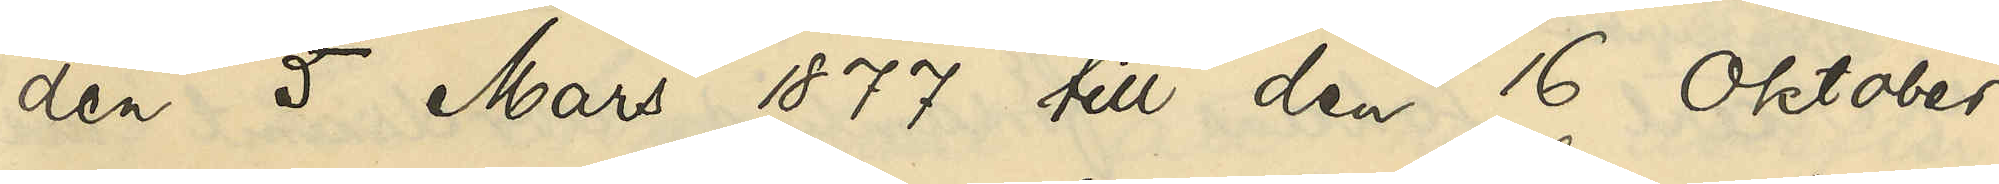den 5 Mars 1877 till den 16 Oktober
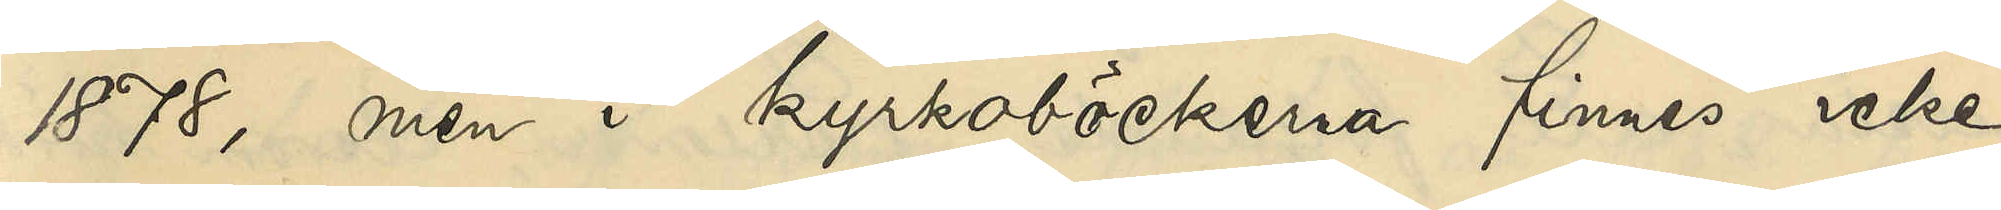1878, men i kyrkoböckerna finnes icke
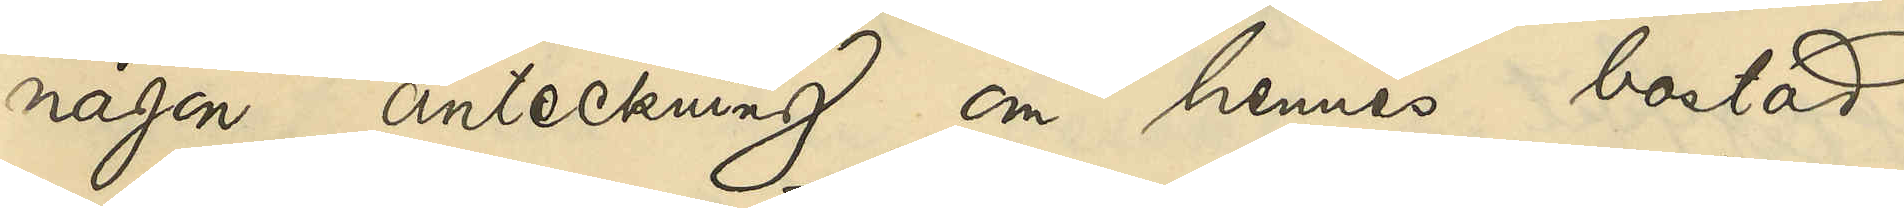någon anteckning om hennes bostad
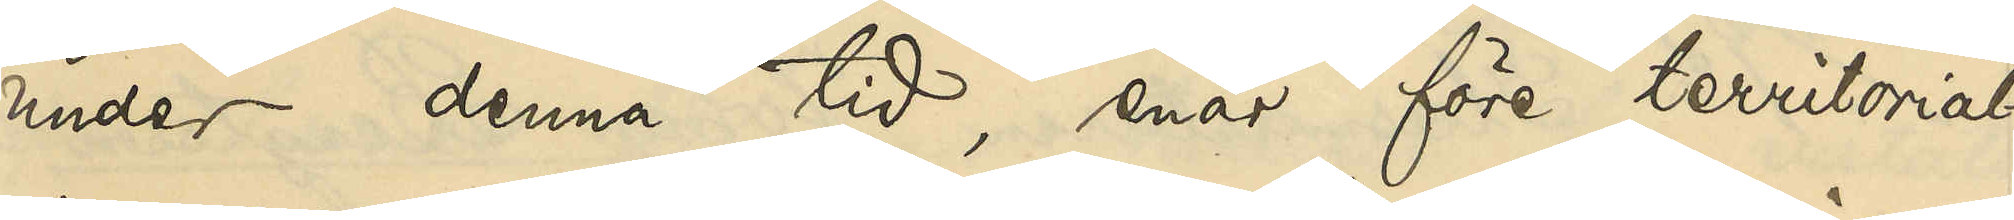under denna tid, enär före territorial¬
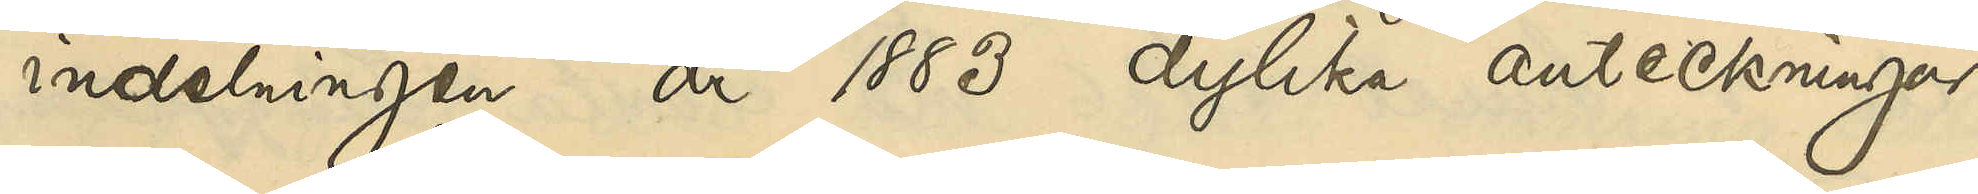indelningen år 1883 dylika anteckningar
